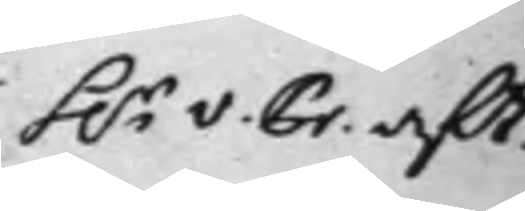h.r v. Pr. aft.
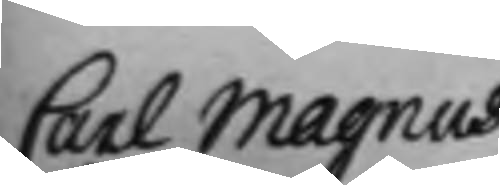Carl Magnus
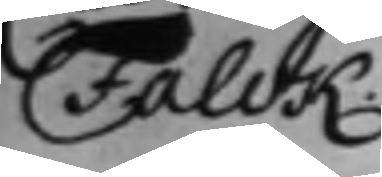Falck
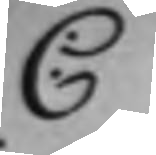C
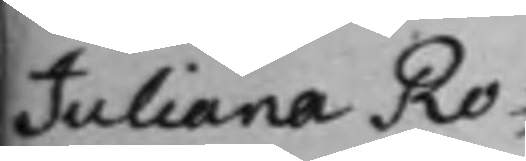Juliana Ro¬ 
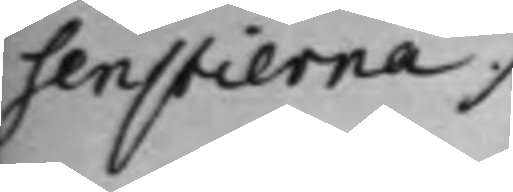senstierna 
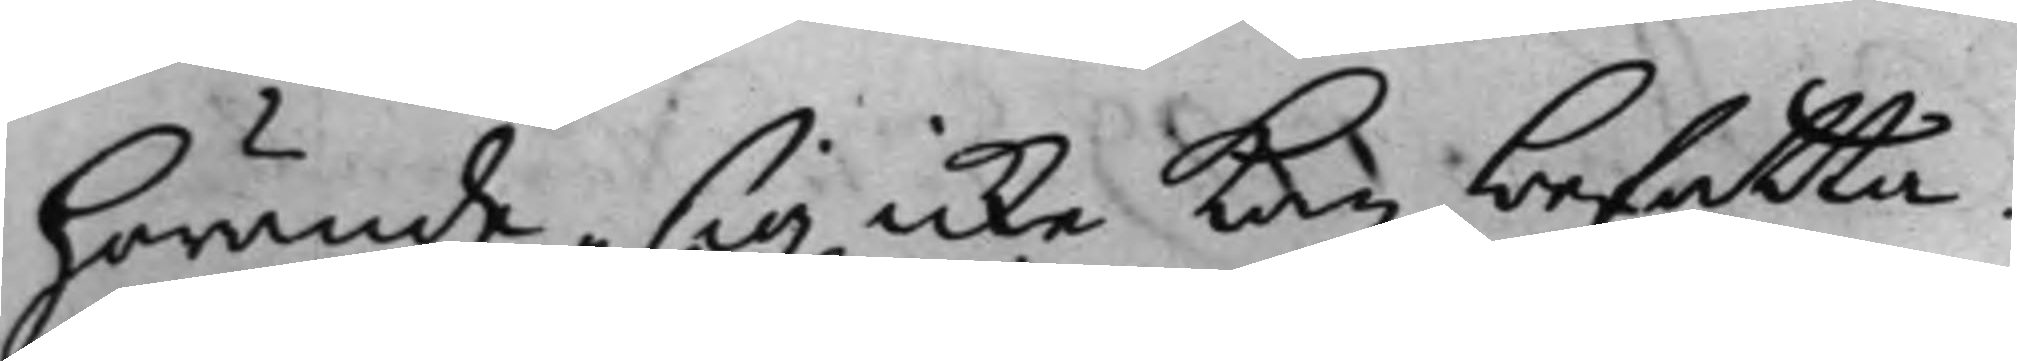hörande sig icke kan befatta.
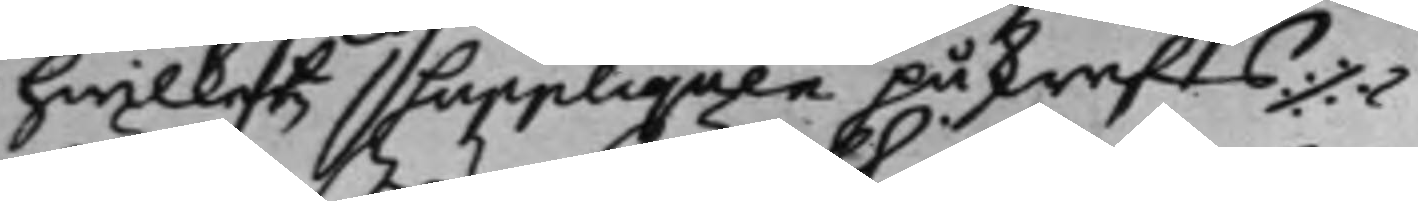hwilket Suppliquen påskreffts¬
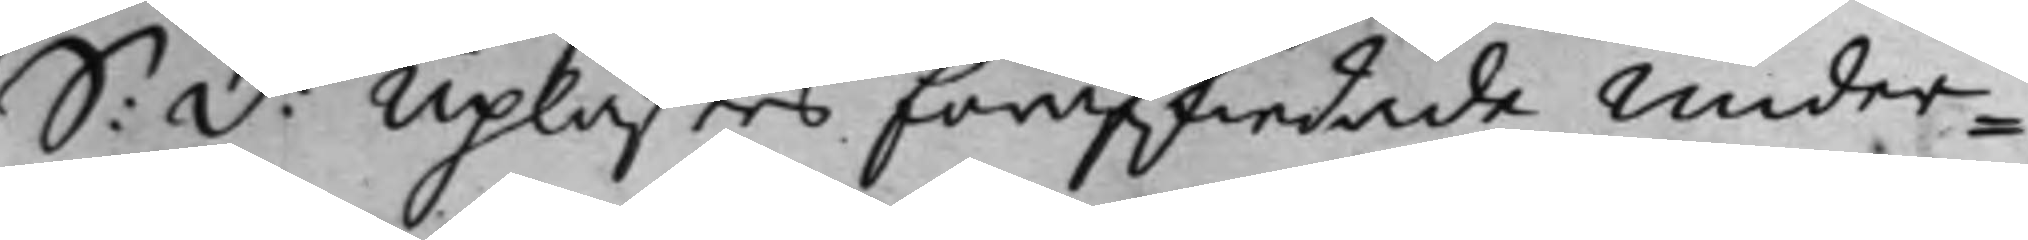S: D: Uplästes förskiedade under¬ 
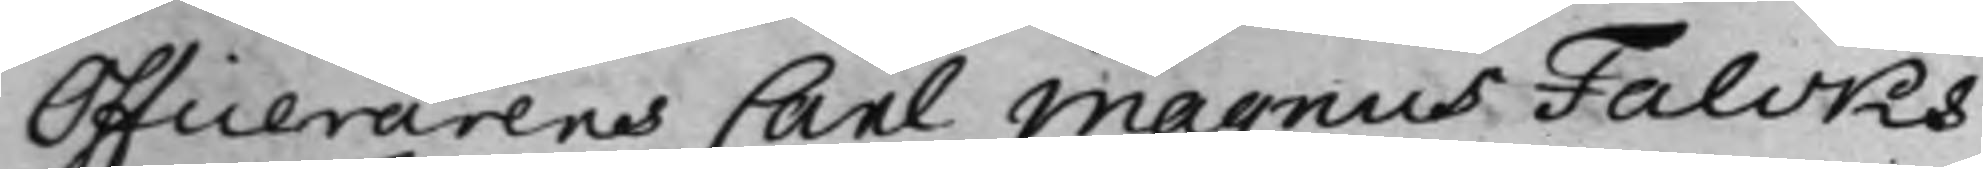Officerarens Carl Magnus Falcks
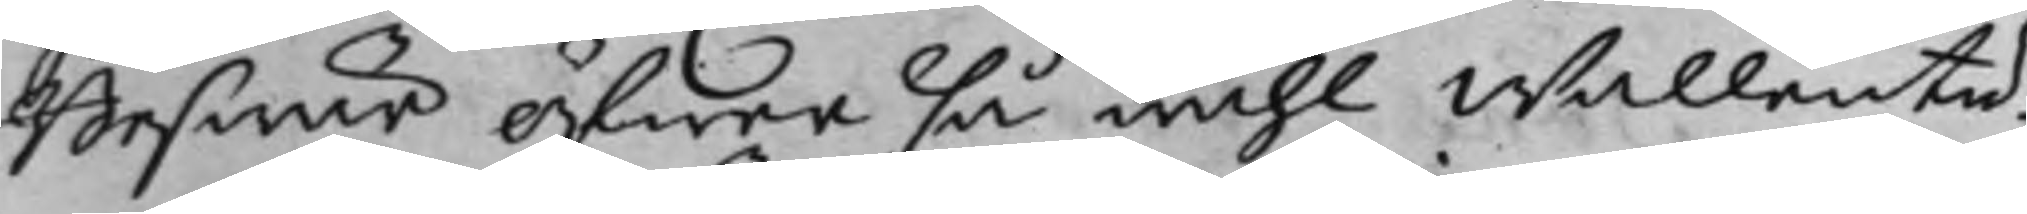Beswär öfwer så wähl wällente,
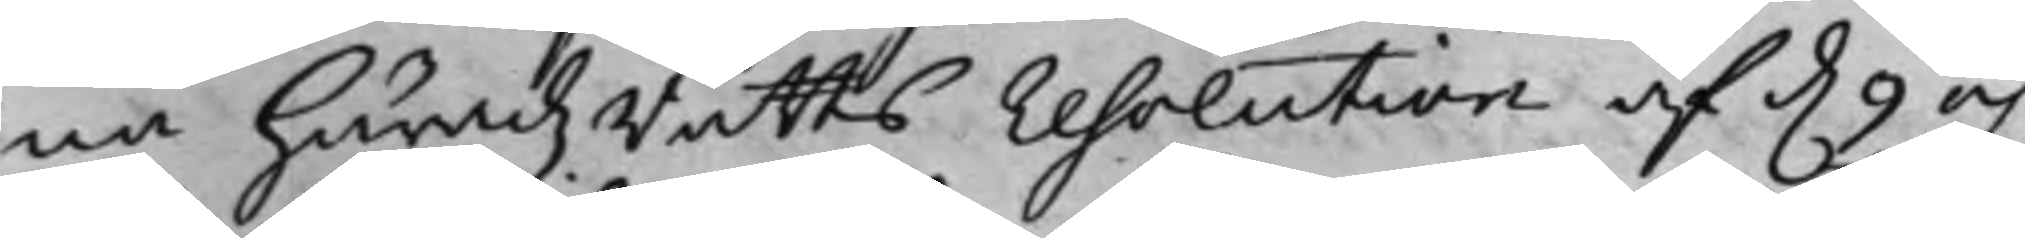må Häradz Rätts resolution af d. 9 och 
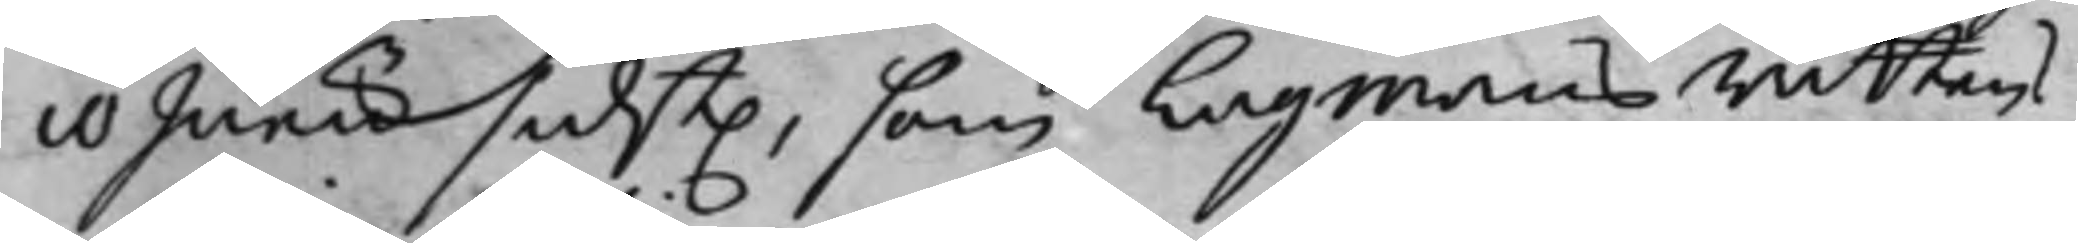10 Junii sidst. som Lagmans rättens 
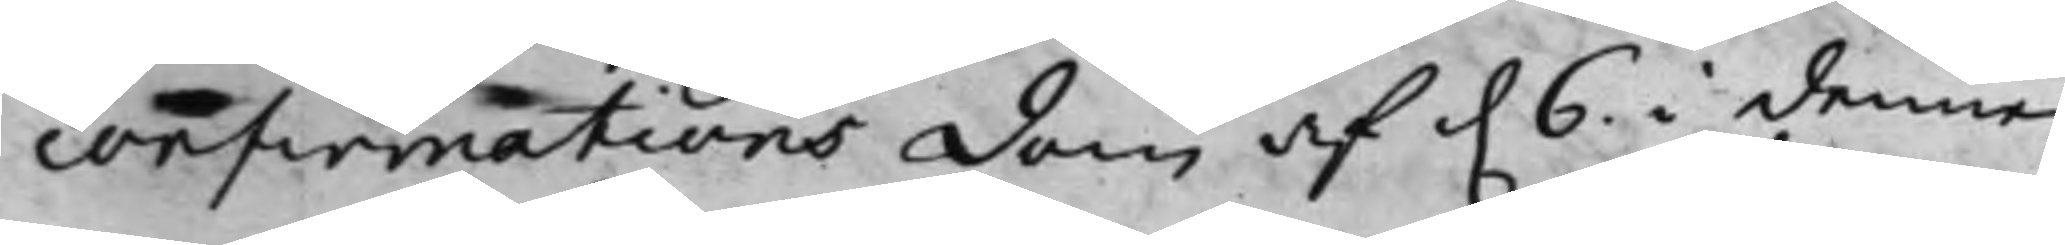confirmations dom af d. 6 i denne 
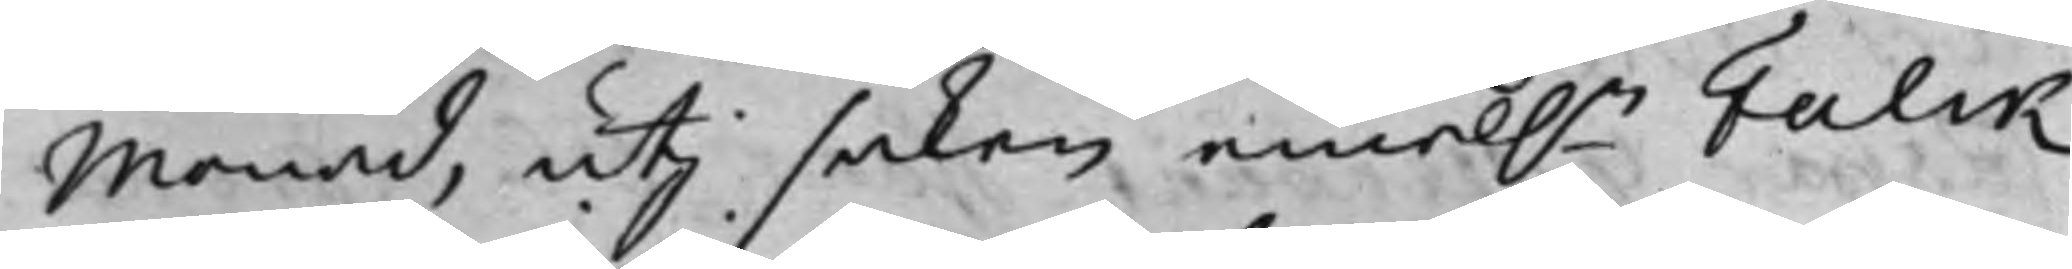Månad, uti saken emel.n Falck 
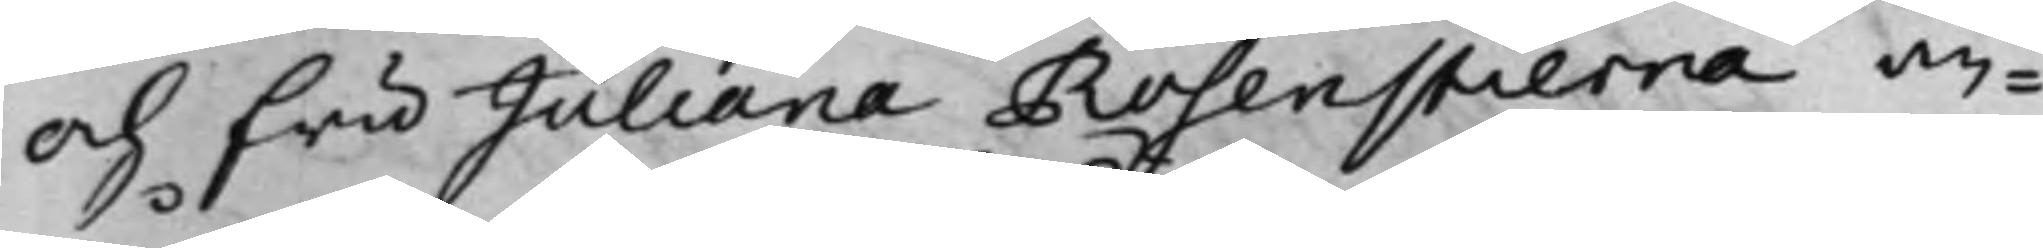och Fru Juliana Rosenstierna an¬
